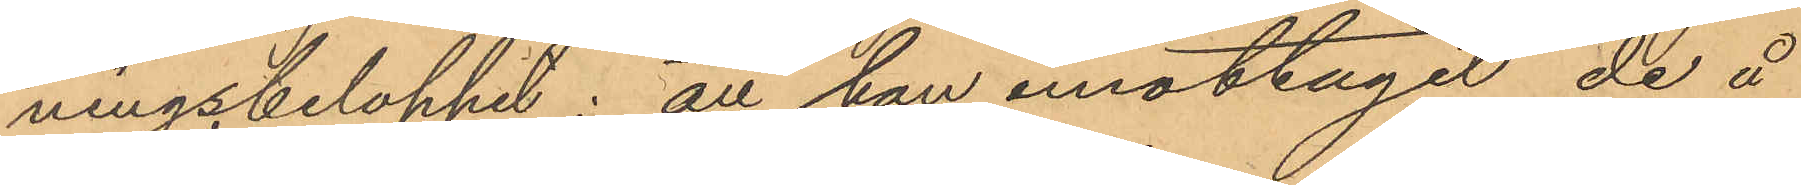ningsbeloppet; att han emottagit de å
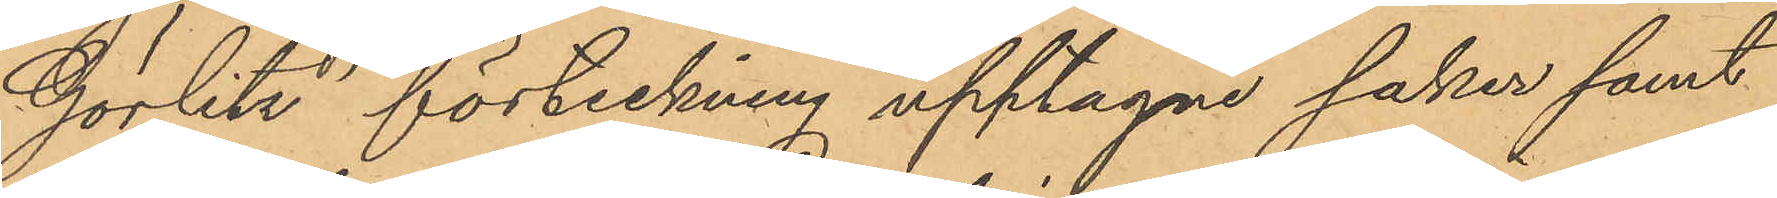Görlitz´ förteckning upptagne saker samt
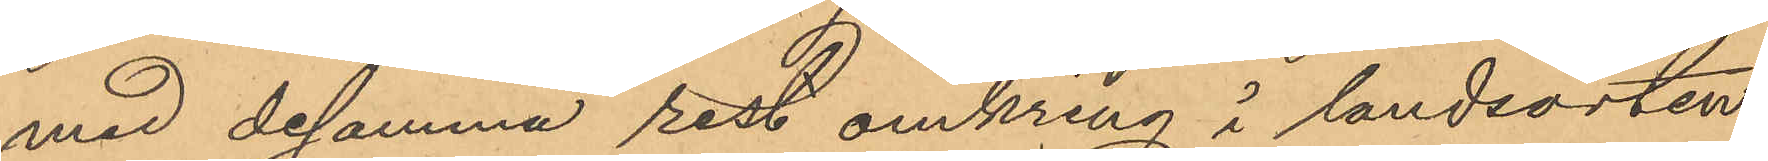med desamma rest omkring i landsorten
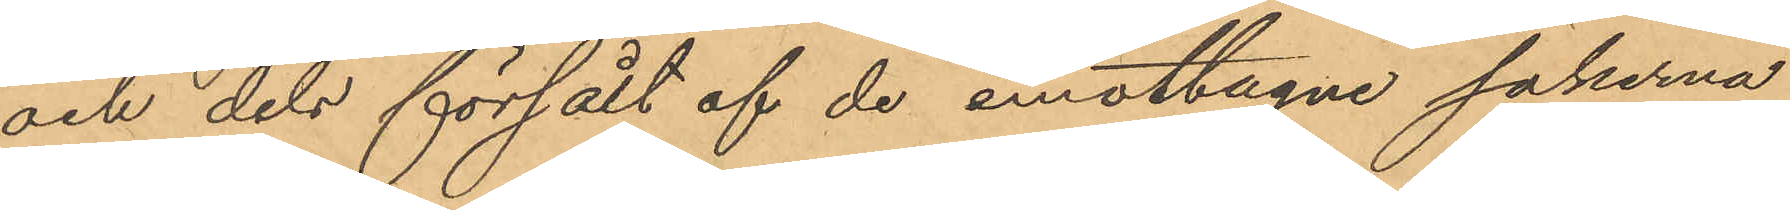och dels försålt af de emottagne sakerna
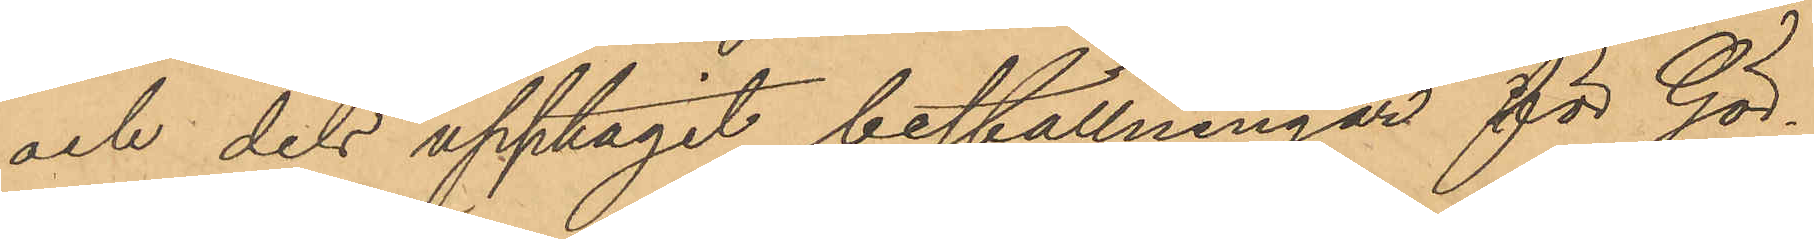och dels upptagit beställningar för Gör¬
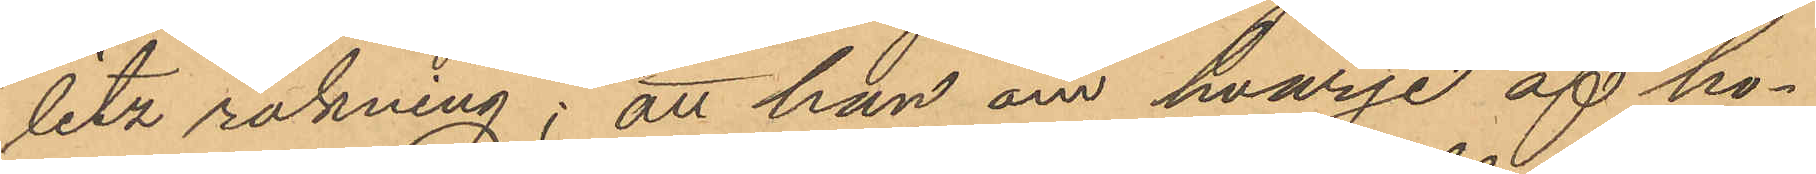litz räkning; att han om hvarje af ho¬
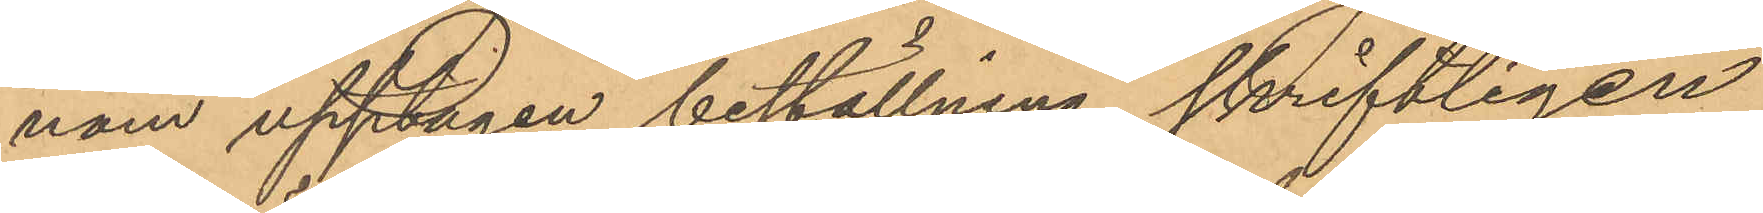nom upptagen beställning skriftligen
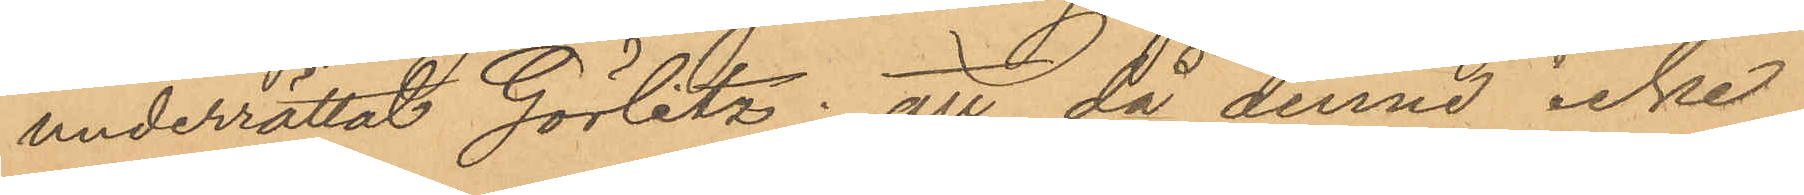underrättat Görlitz; att då denne icke
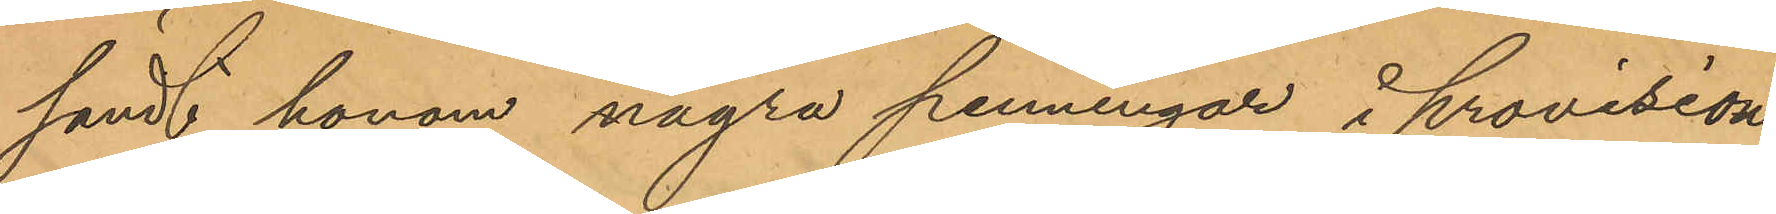sändt honom några penningar i provision
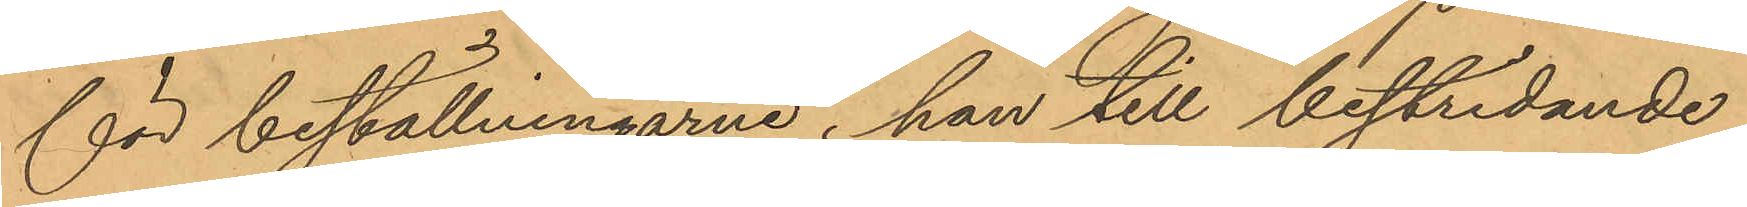för beställningarne, han till bestridande
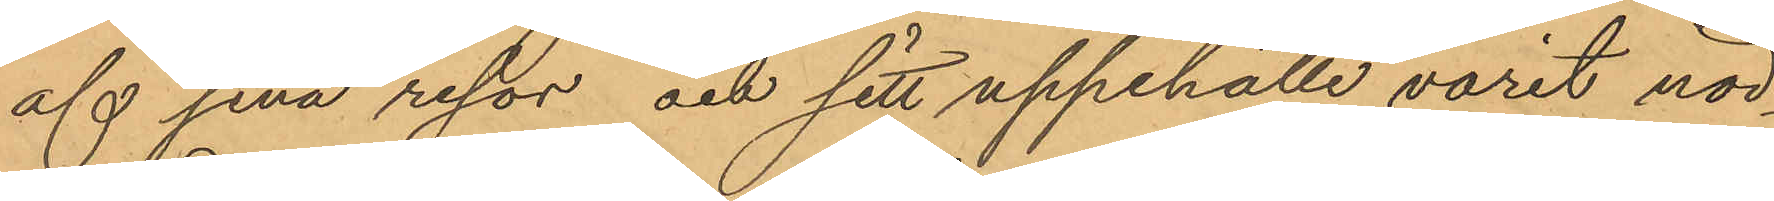af sina resor och sitt uppehälle varit nöd¬
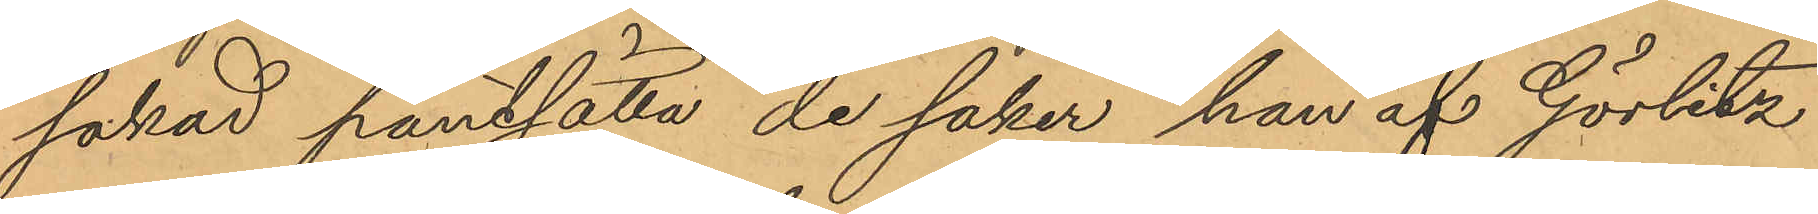sakad pantsätta de saker han af Görlitz
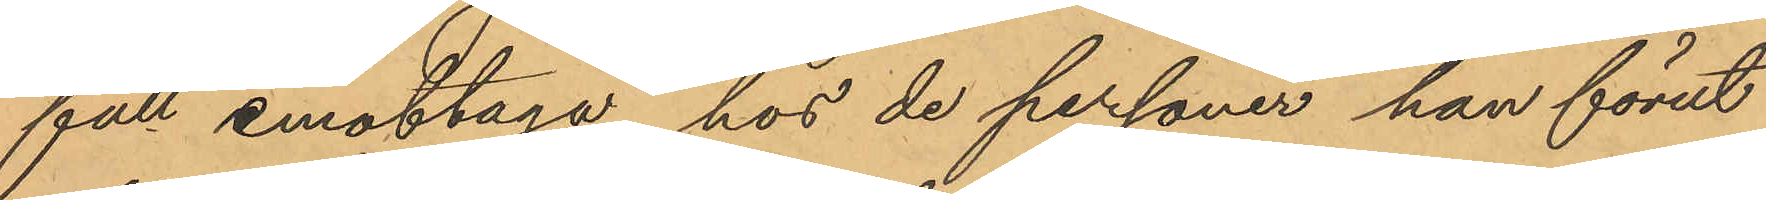fått emottaga hos de personer han förut
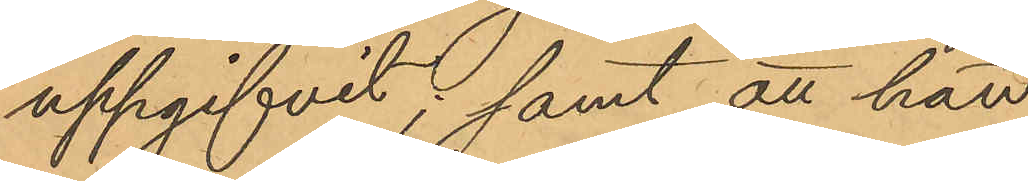uppgifvit; samt att han
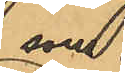som
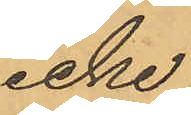icke
